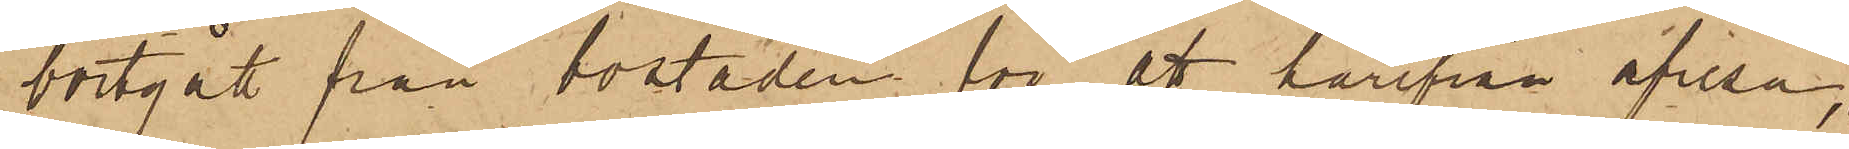bortgått från bostaden för att härifrån afresa,
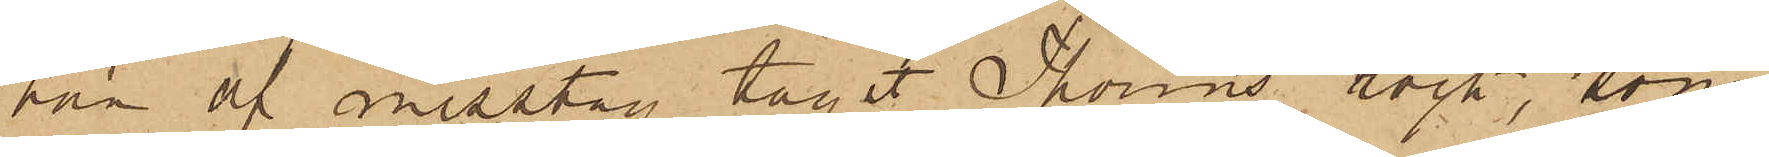han af misstag tagit Thorins rock, som
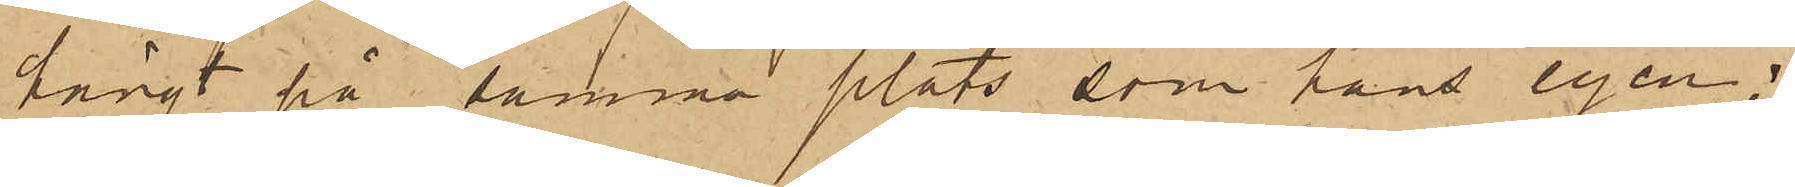hängt på samma plats, som hans egen;
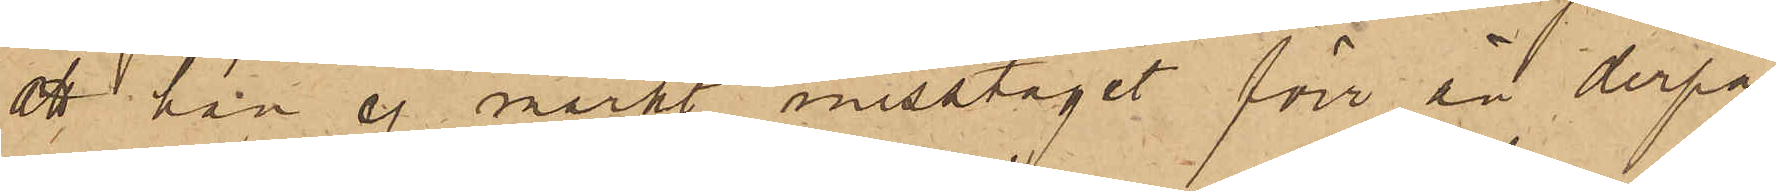att han ej märkt misstaget förr än derpå¬
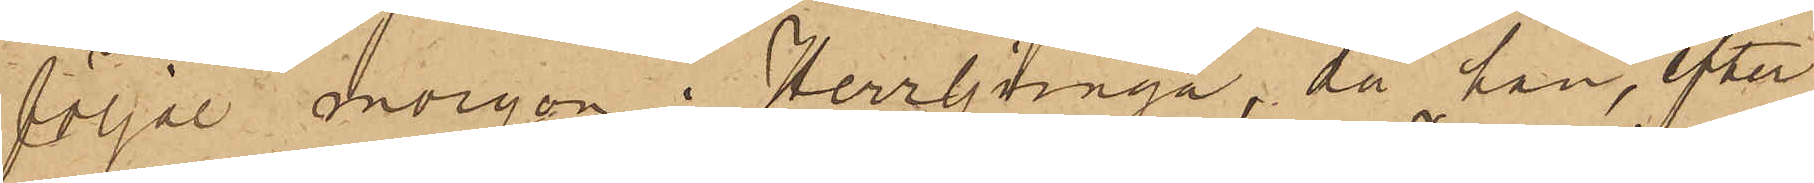följde morgon i Herrljunga, då han, efter
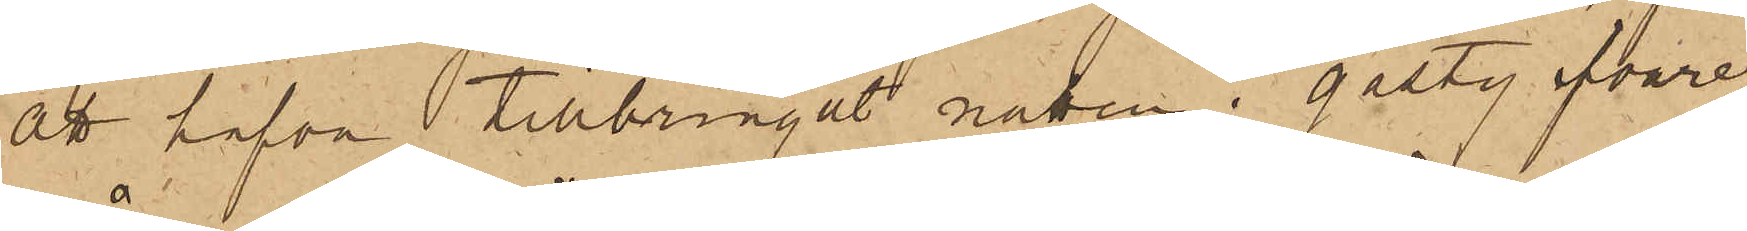att hafva tillbringat natten i gästgifvare¬
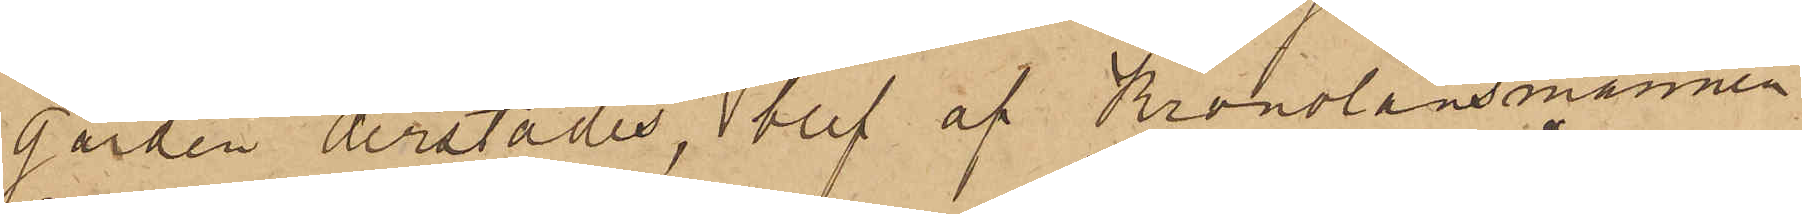gården derstädes, blef af Kronolänsmannen
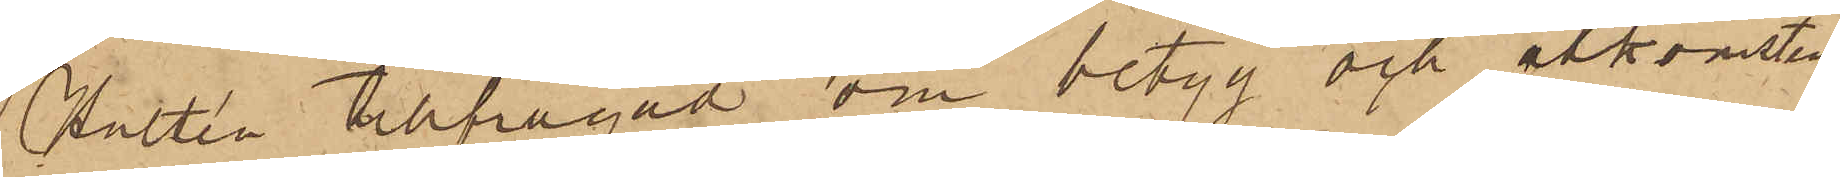Hultén tillfrågad om betyg och åtkomsten
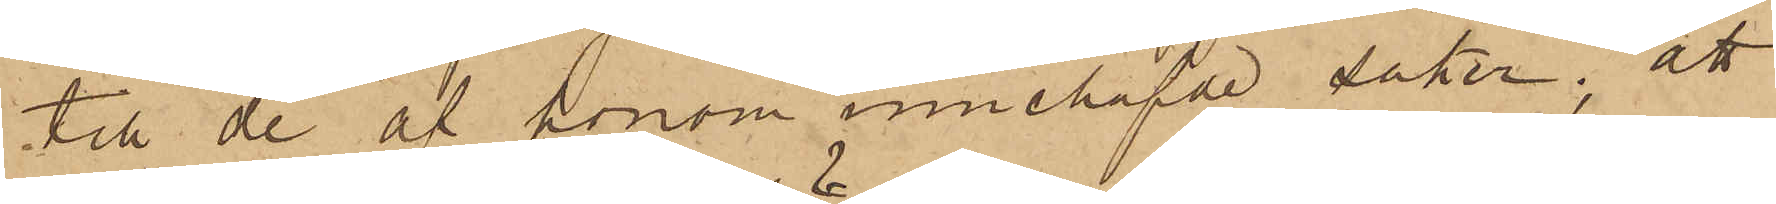till de af honom innehafde saker, att
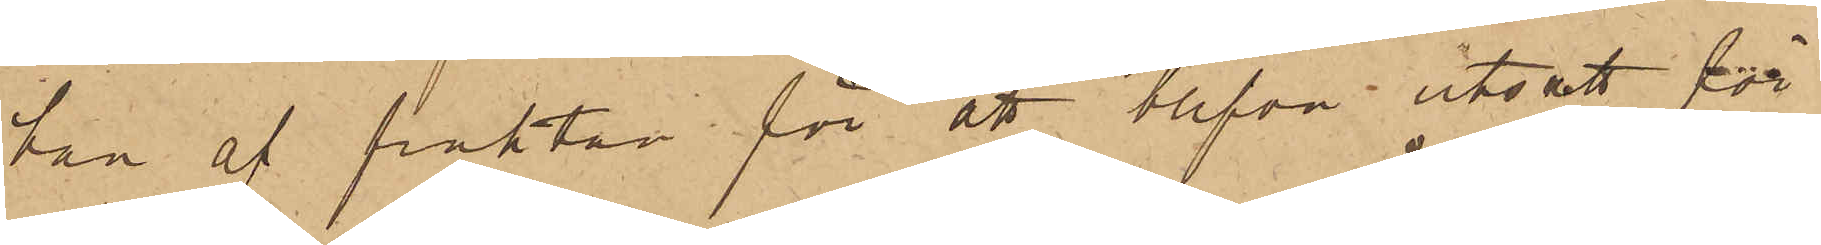han af fruktan för att blifva utsatt för
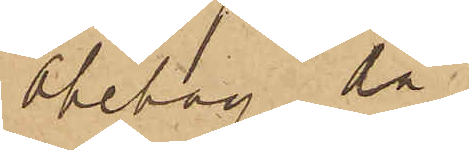obehag då
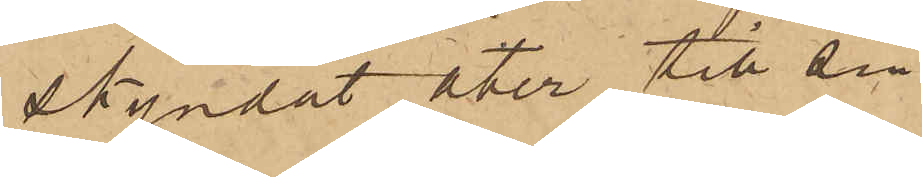skyndat åter till sin
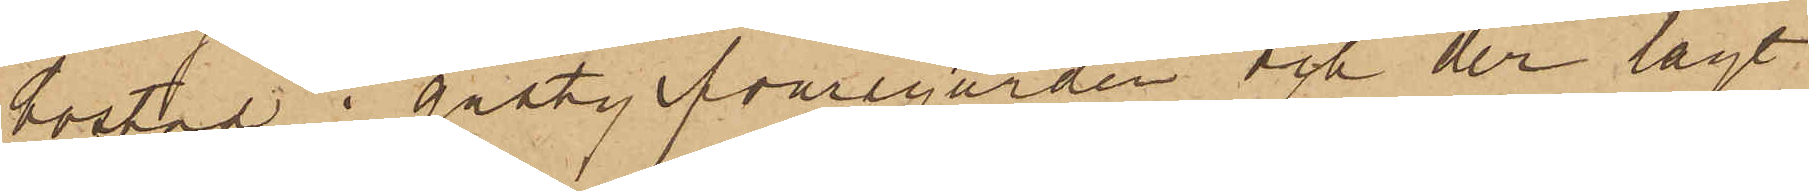bostad i gästgifvaregården och der lagt
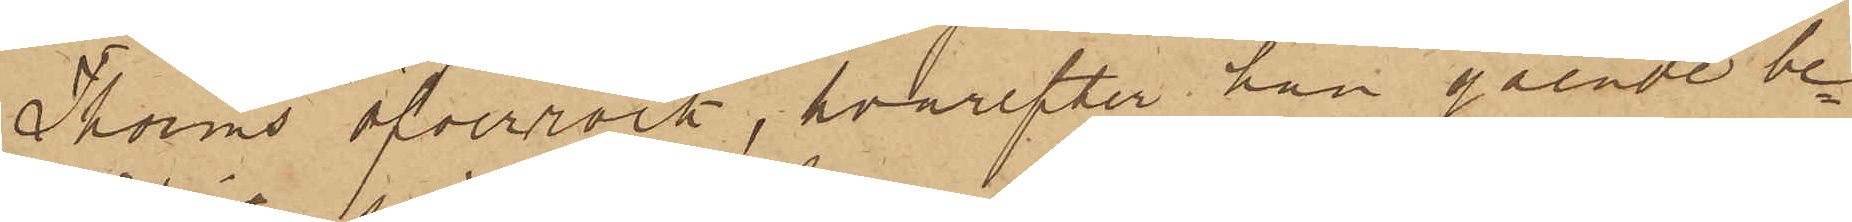Thorins öfverrock, hvarefter han gående be¬
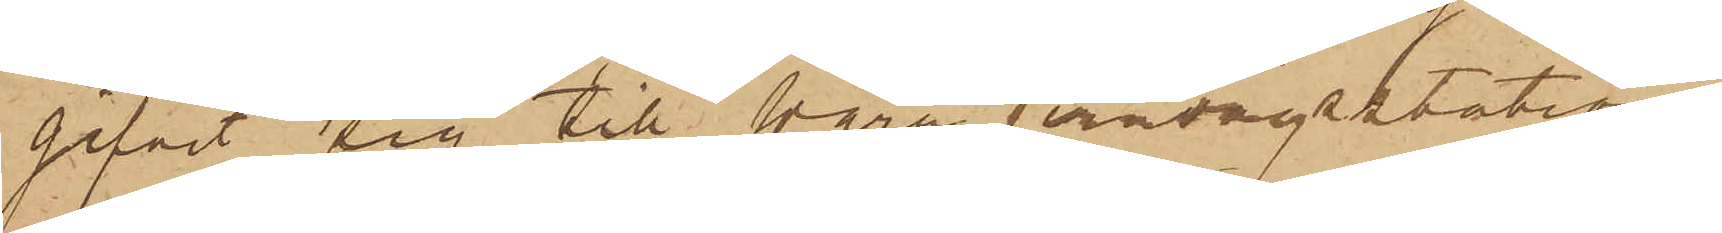gifvit sig till Wara jernvägsstation,
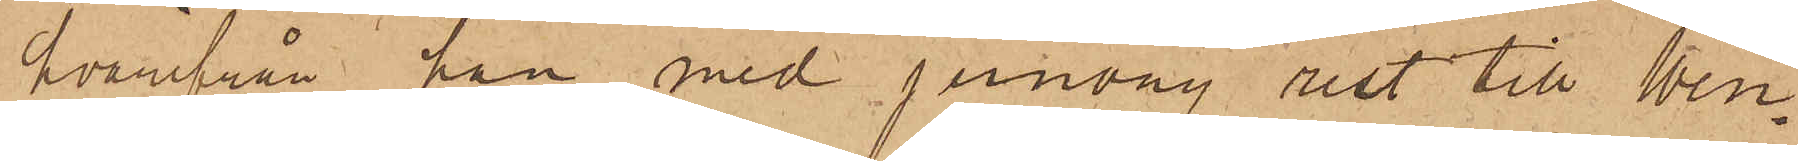hvarifrån han med jernväg rest till Wen¬
